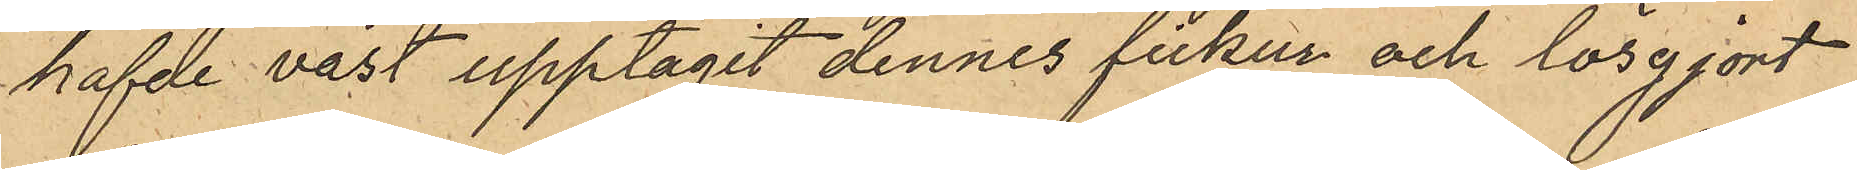hafde väst upptagit dennes fickur och lösgjort
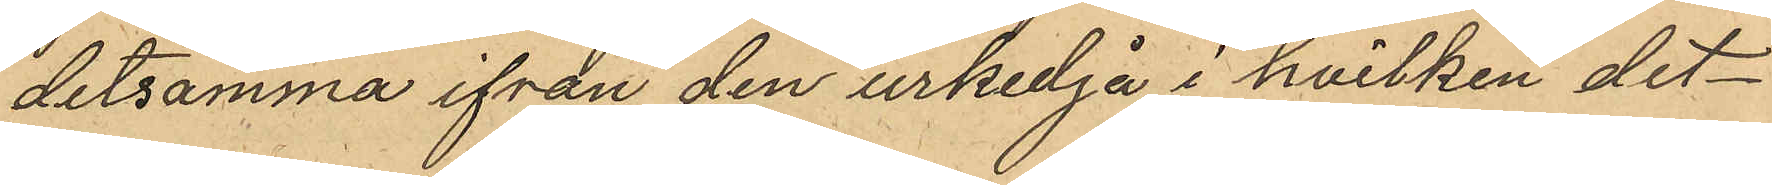detsamma ifrån den urkedjå i hvilken det
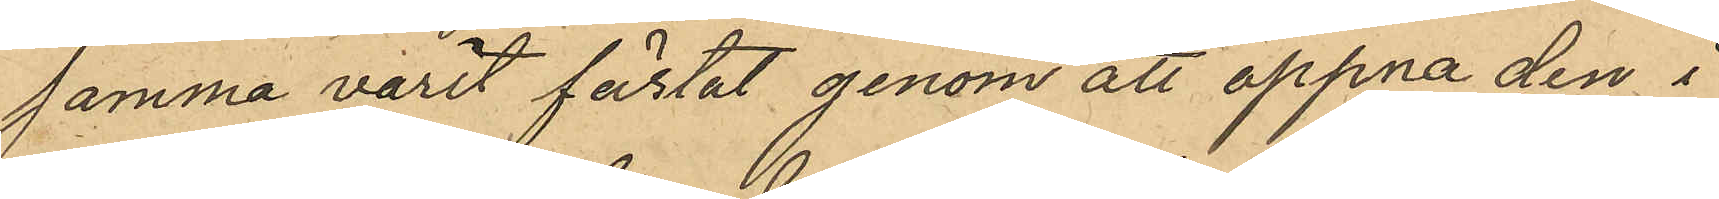samma varit fästat genom att öppna den i
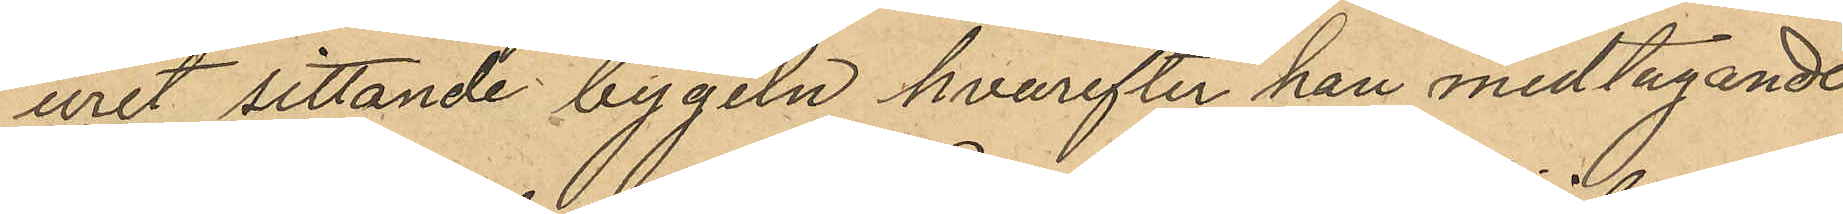uret sittande bygeln hvarefter han medtagande
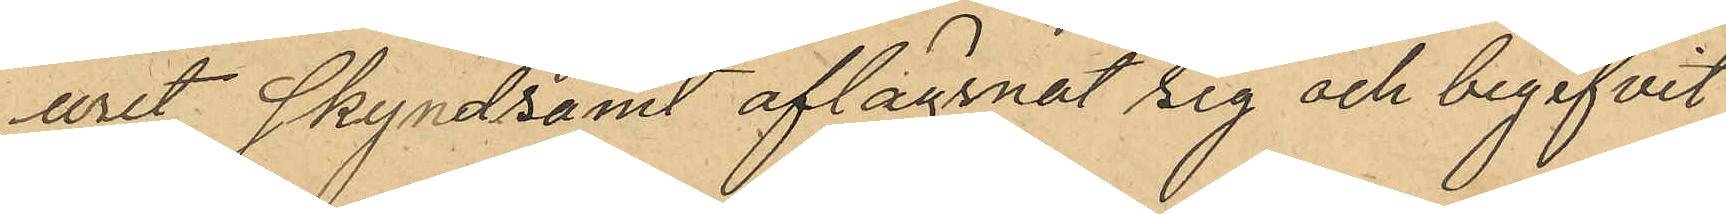uret skyndsamt aflägsnat sig och begifvit
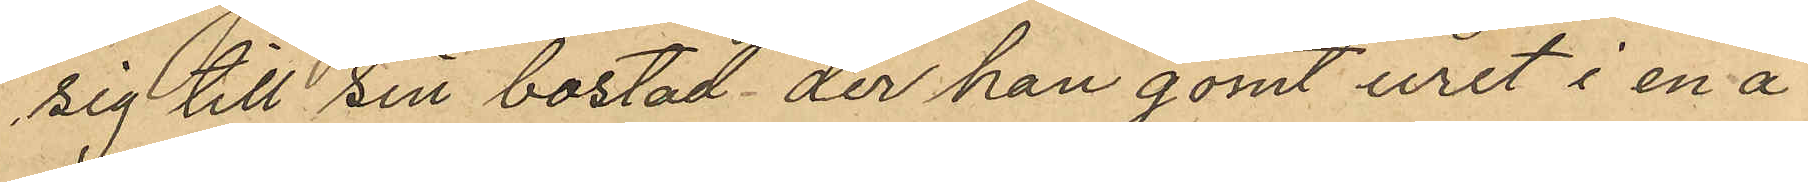sig till sin bostad der han gömt uret i en å
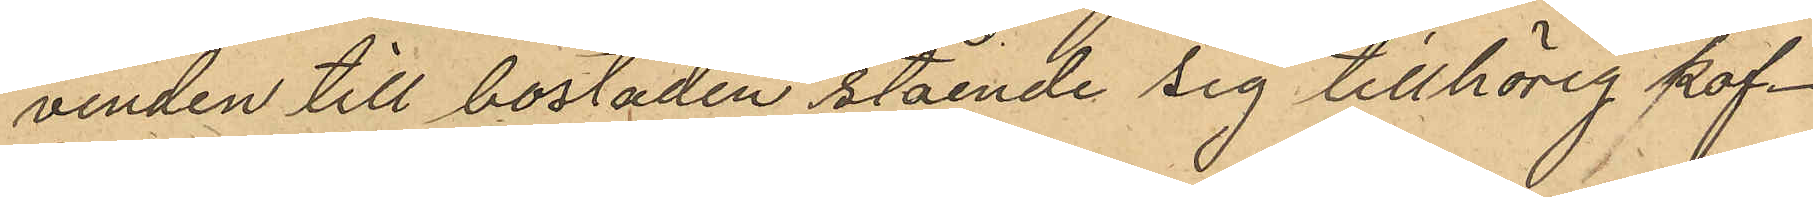vinden till bostaden stående sig tillhörig kof¬
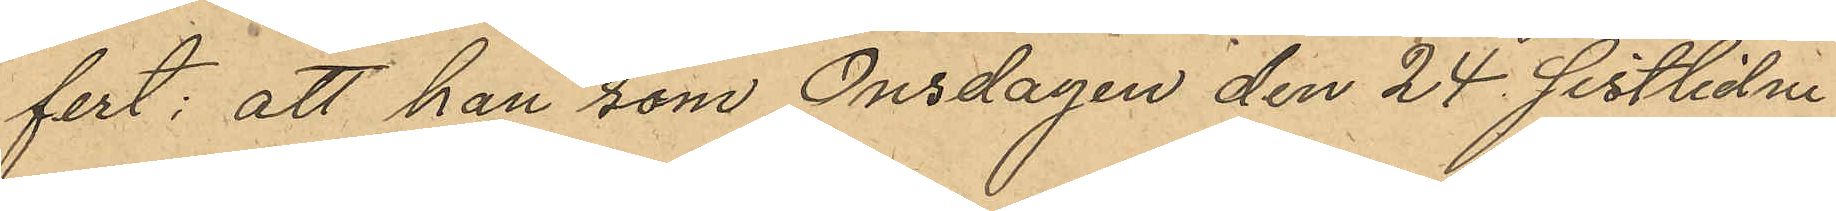fert; att han som Onsdagen den 24 sistlidne
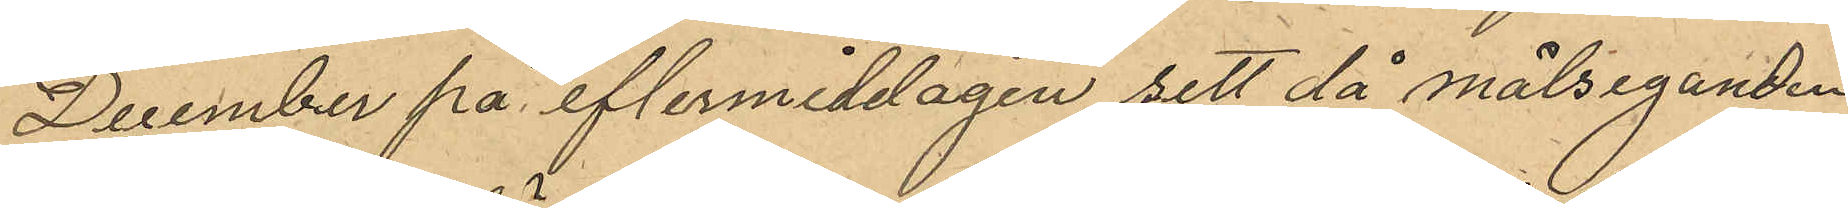December på eftermiddagen sett då målseganden
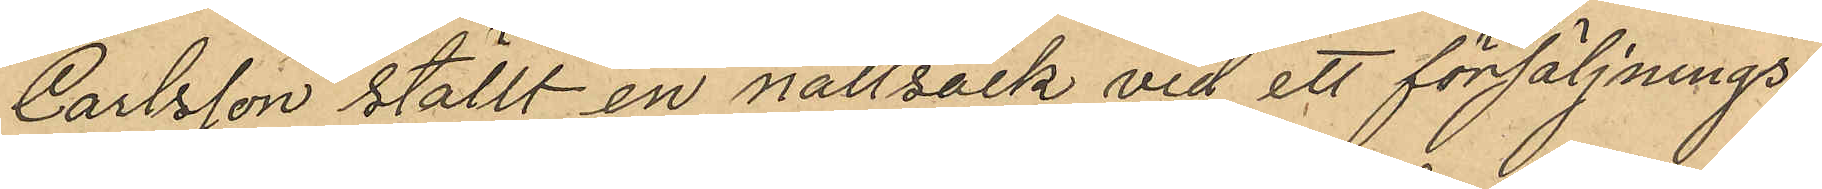Carlsson ställt en nattsäck vid ett försäljnings¬
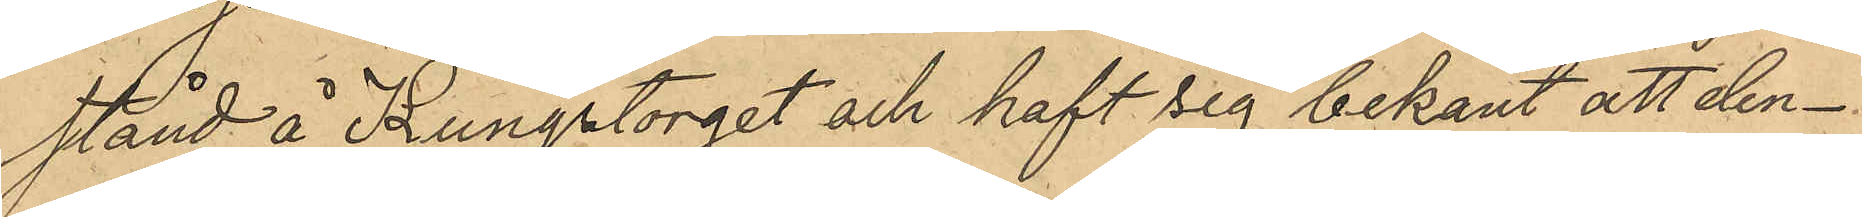stånd å Kungstorget och haft sig bekant att den¬
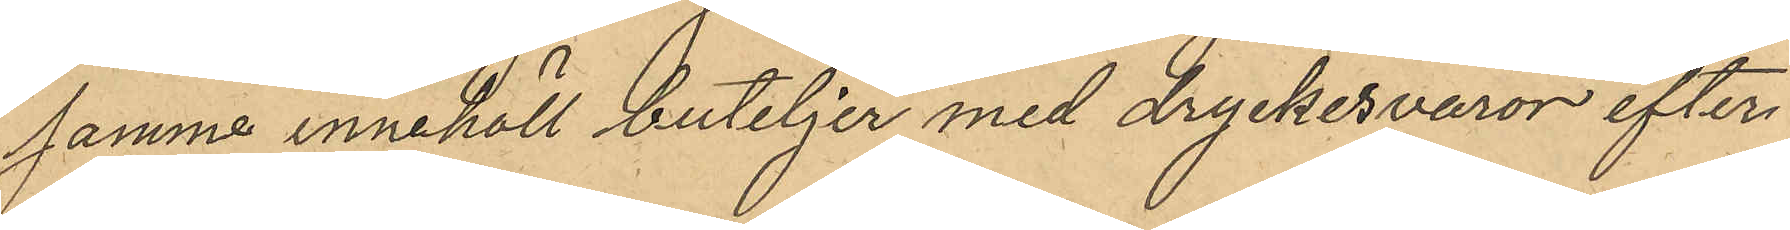samma innehöll buteljer med dryckesvaror efter
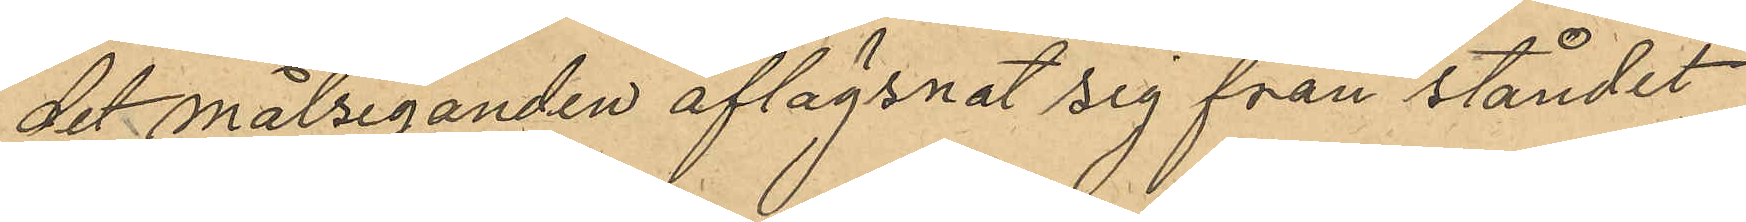det målseganden aflägsnat sig från ståndet
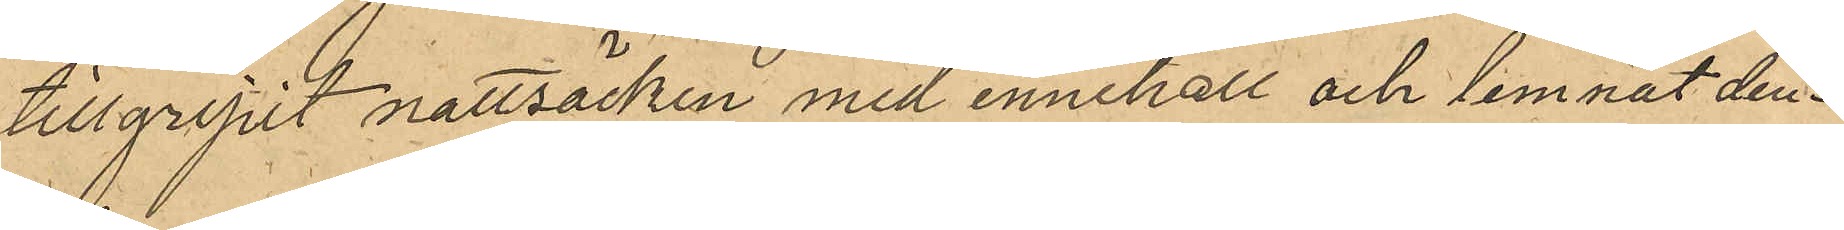tillgripit nattsäcken med innehåll och lemnat den¬
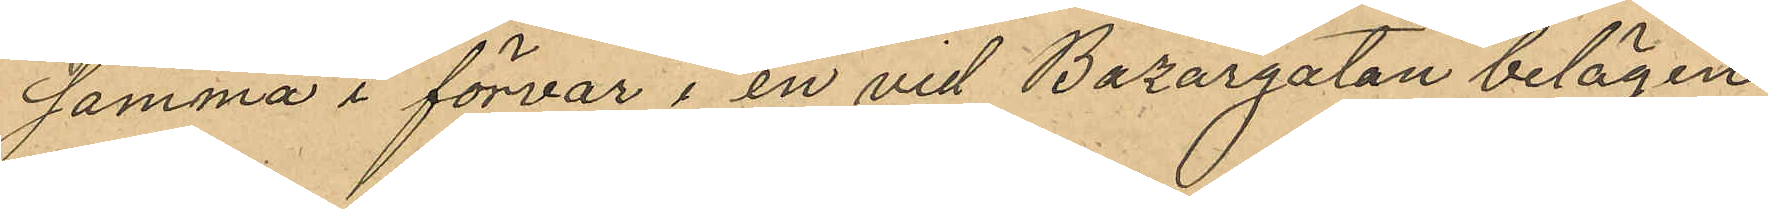samma i förvar i en vid Bazargatan belägen
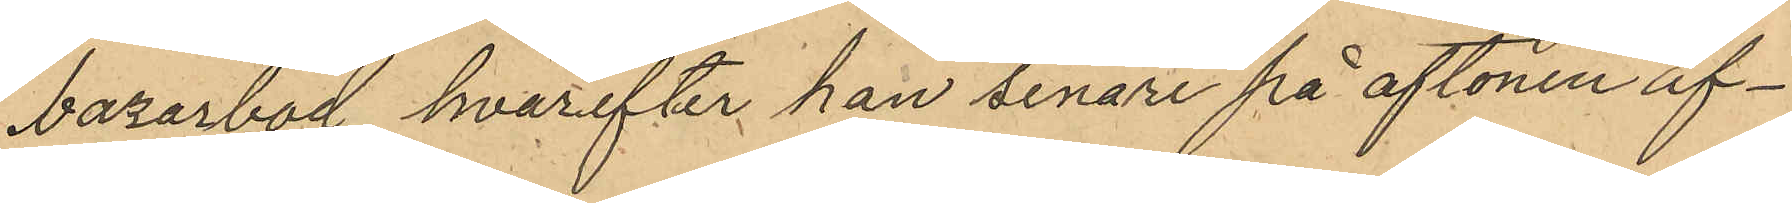bazarbod hvarefter han senare på aftonen af¬
